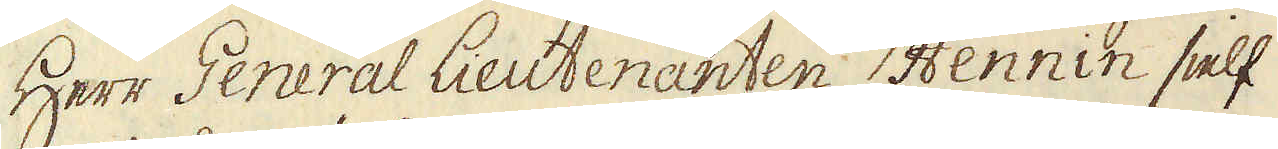Herr General Lieutenanten Hennin sielf
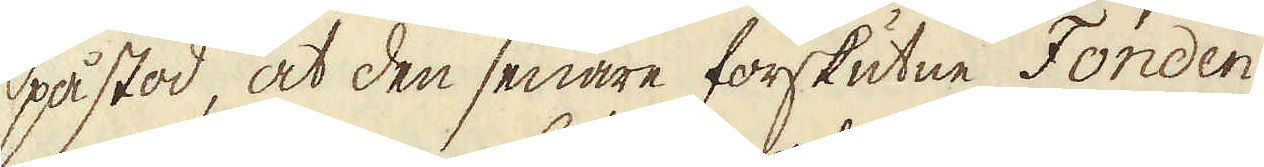påstod, at den senare förskutne Fonden
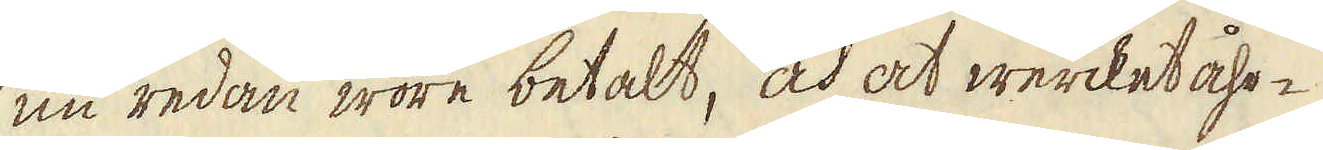nu redan wore betalt, och at wercket åhr-
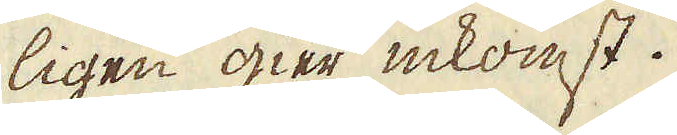ligen gier inkomst.
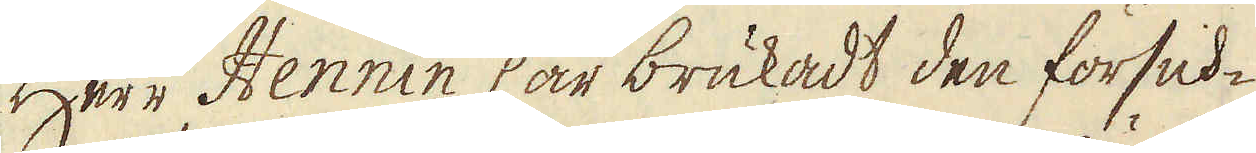Herr Hennin har brukadt den försick-
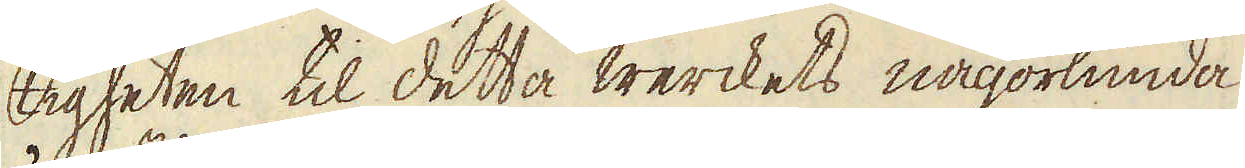tigheten til detta werckets någorlunda
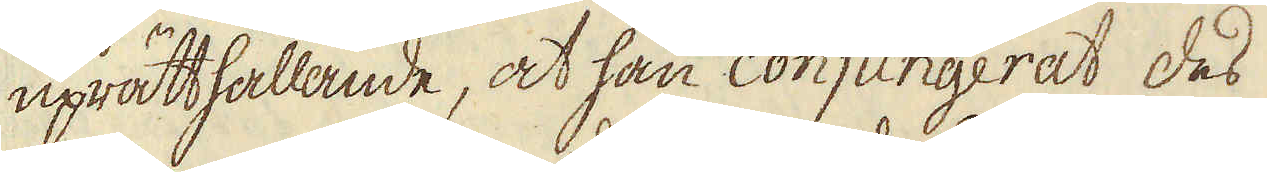uprätthållande, at han conjungerat des
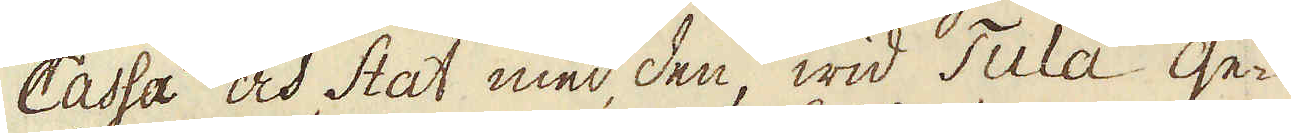Cassa och Stat med den, wid Tula ge-
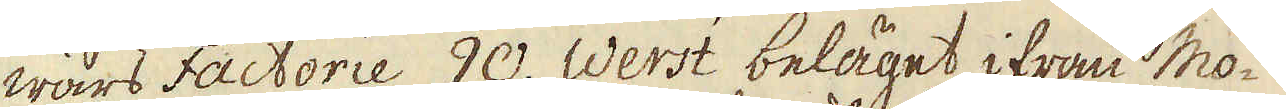wärs Factorie 90. Werst beläget ifrån Mo-
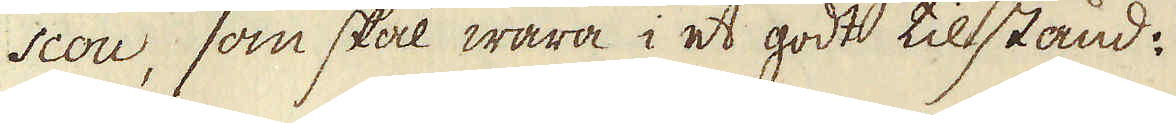scou, som skal wara i et godt tillstånd:
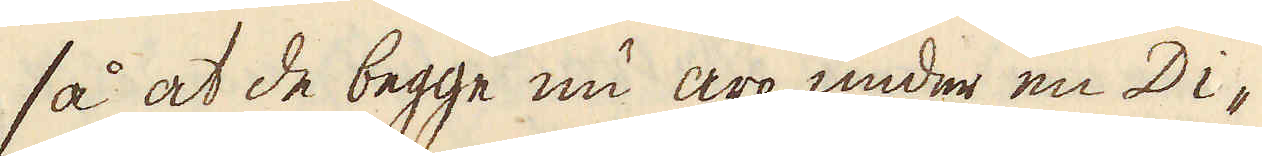så at de begge nu äro under en Di-
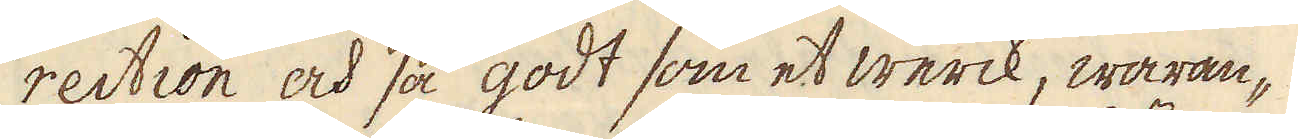rection och så godt som et werck, waran-
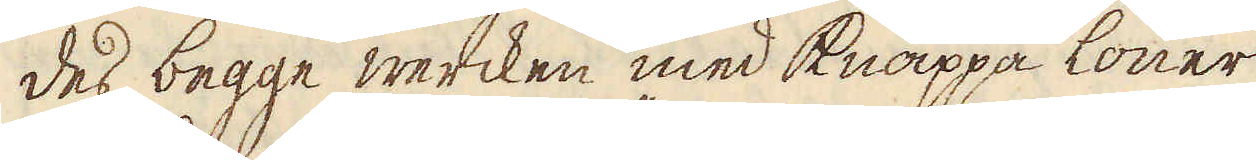des begge wercken med knappa löner
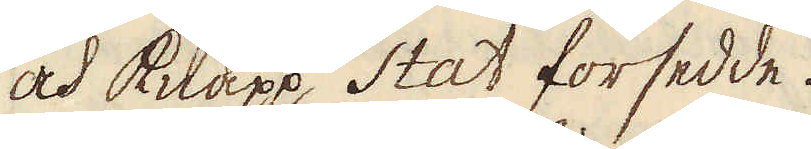och knapp Stat försedde.
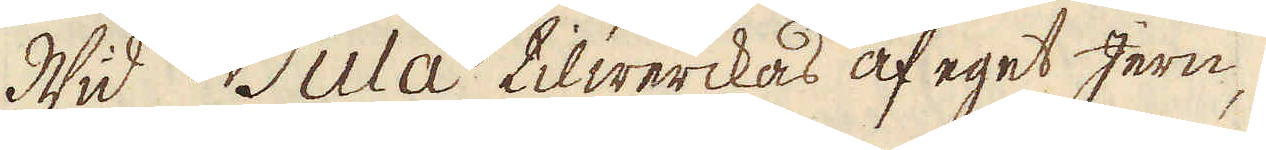Wid Tula tilwerckas af eget Jern,
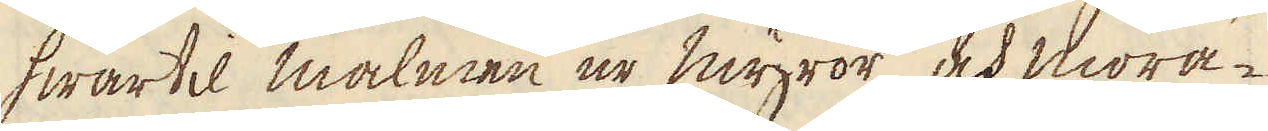hwartil malmen ur myror och mora-
